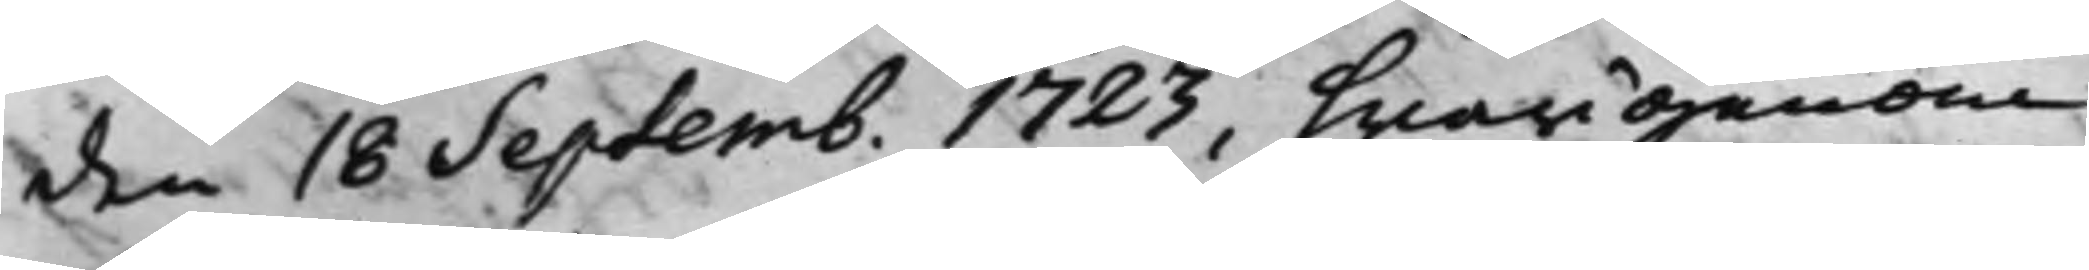den 18 Septemb. 1723, hwarigenom
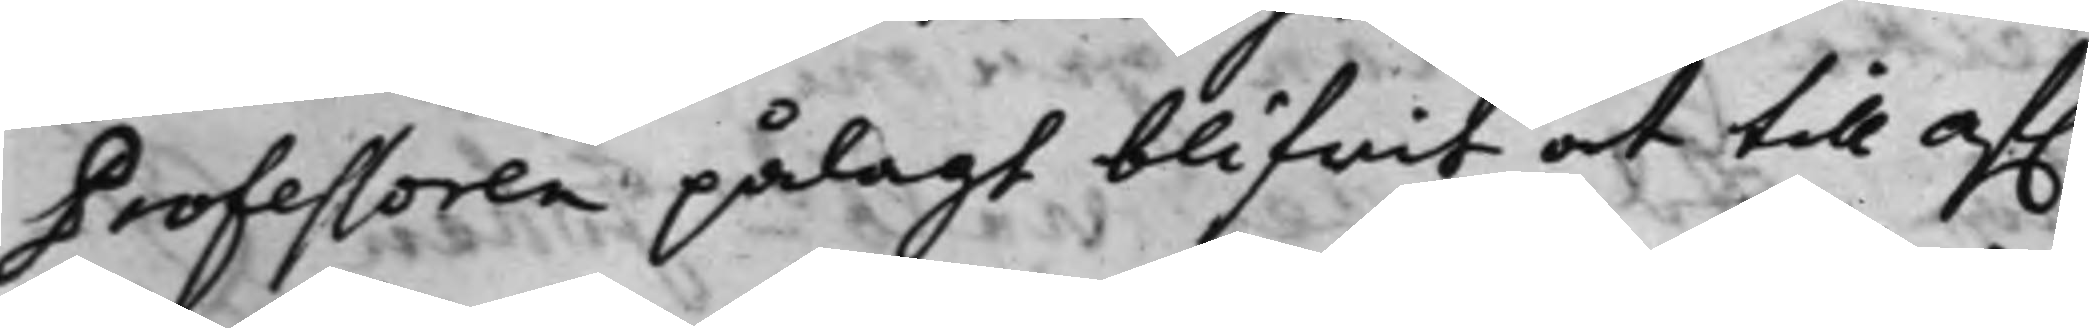Professoren pålagt blifwit at till af.
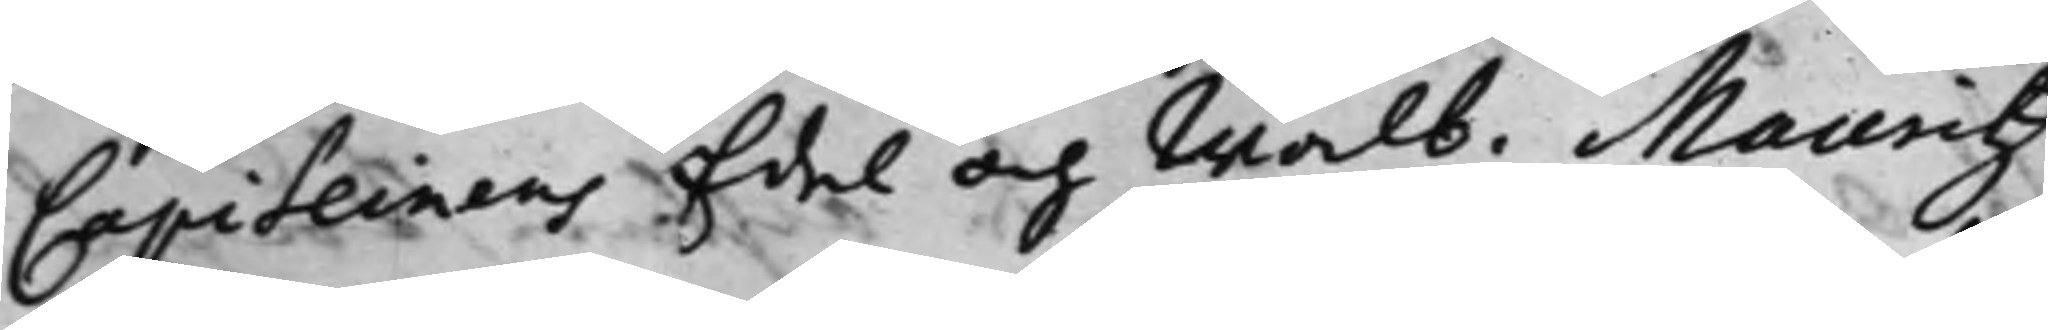Capiteinens Edel och Wälb: Mauritz
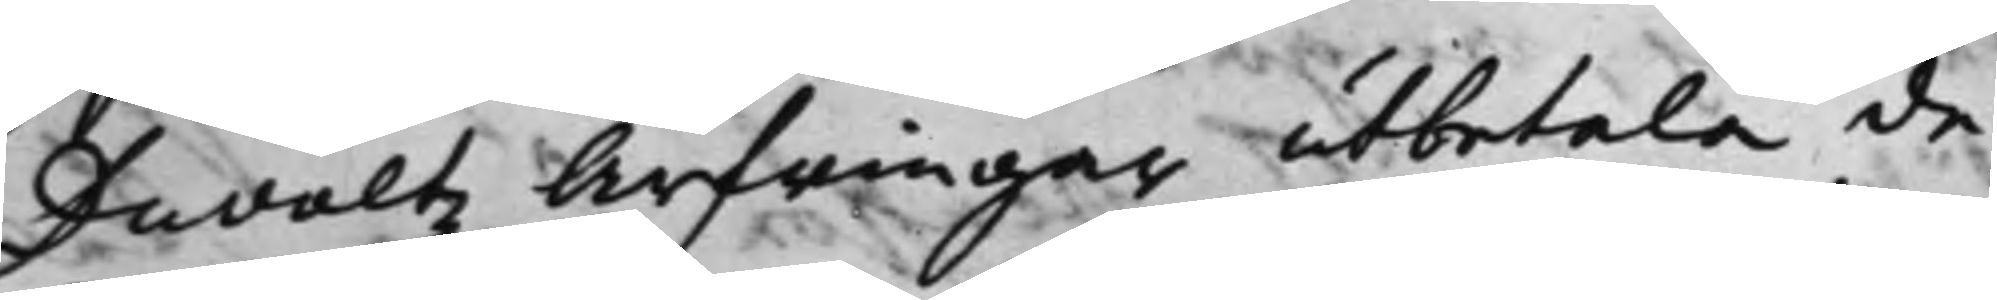Duvaltz Arfwingar utbetala de
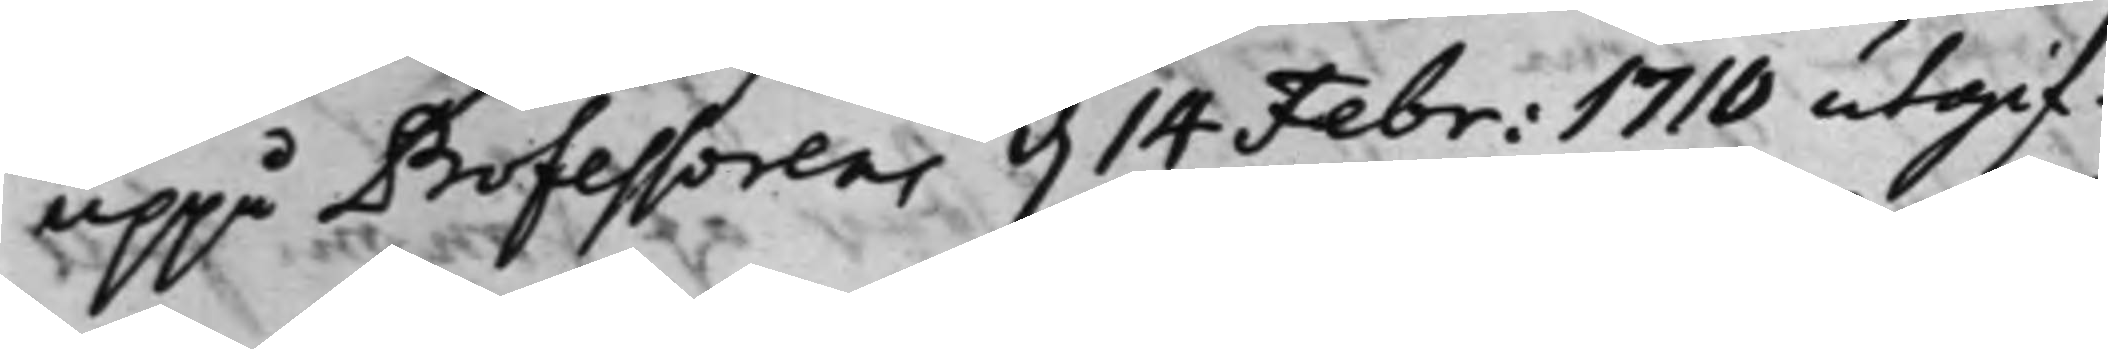uppå Professorens d. 14 febr: 1710 utgif¬
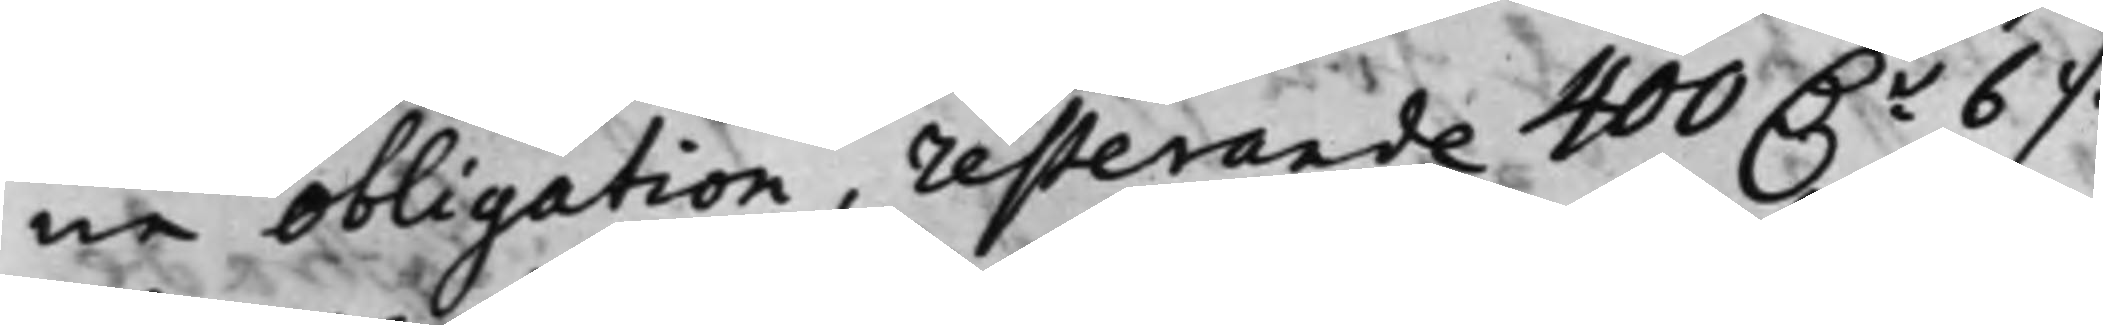ne obligation, resterande 400 D.r 6 ./.
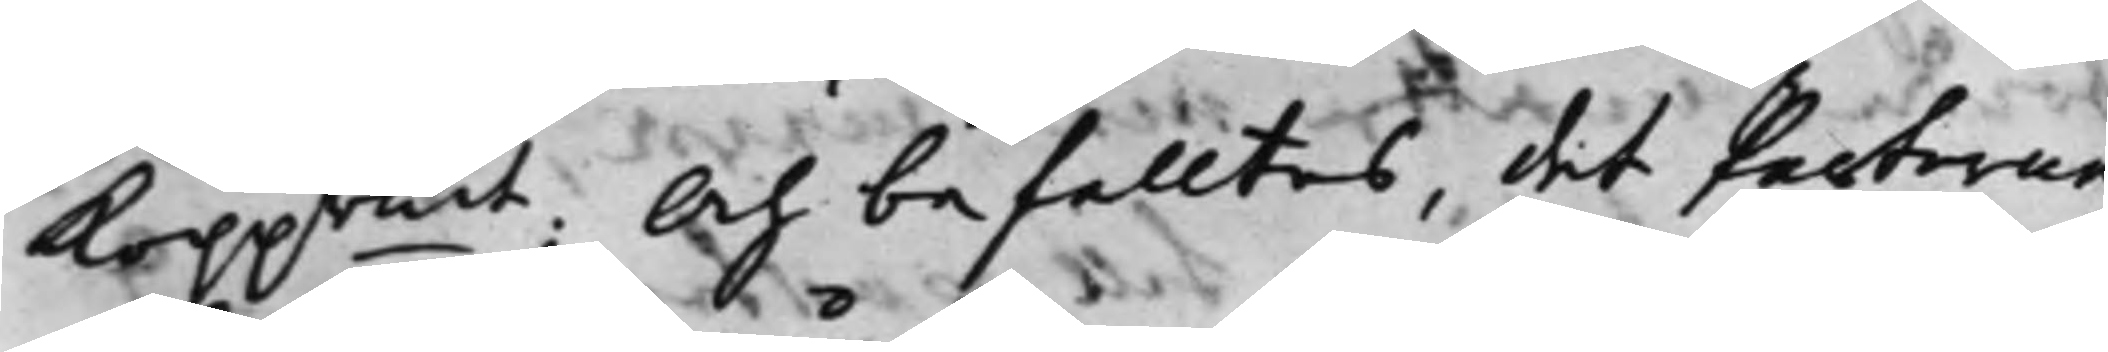Koppmt: Och befalltes, det Parterne
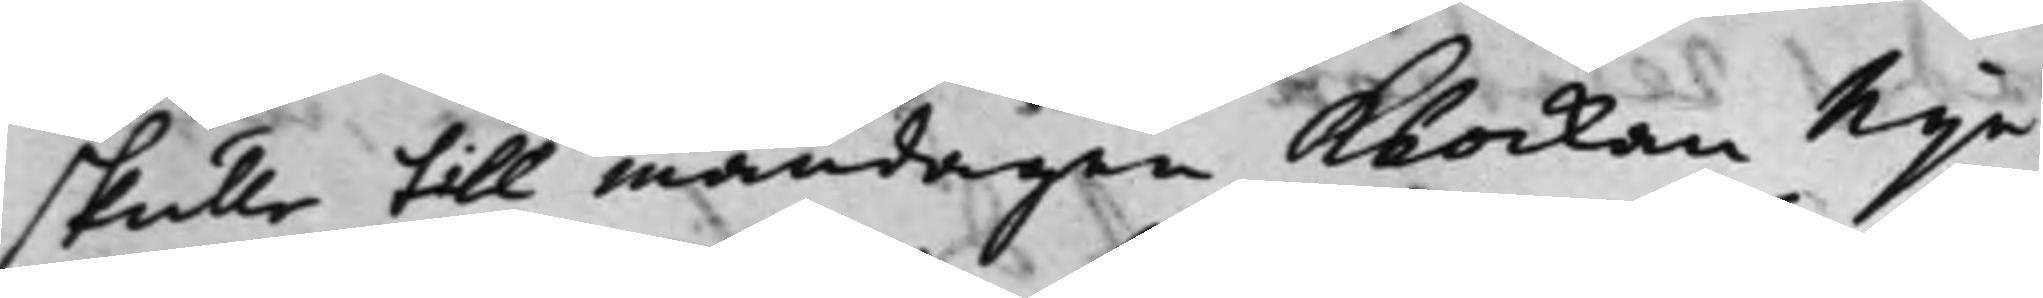skulle till måndagen Klockan nije
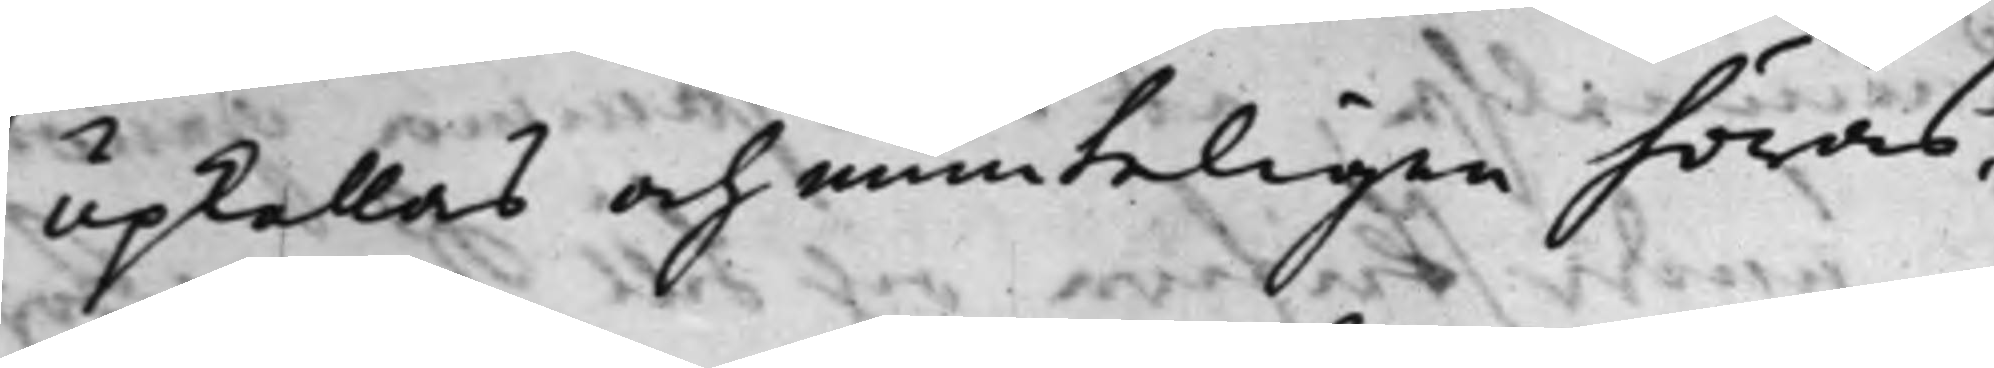upkallas och munteligen höras,
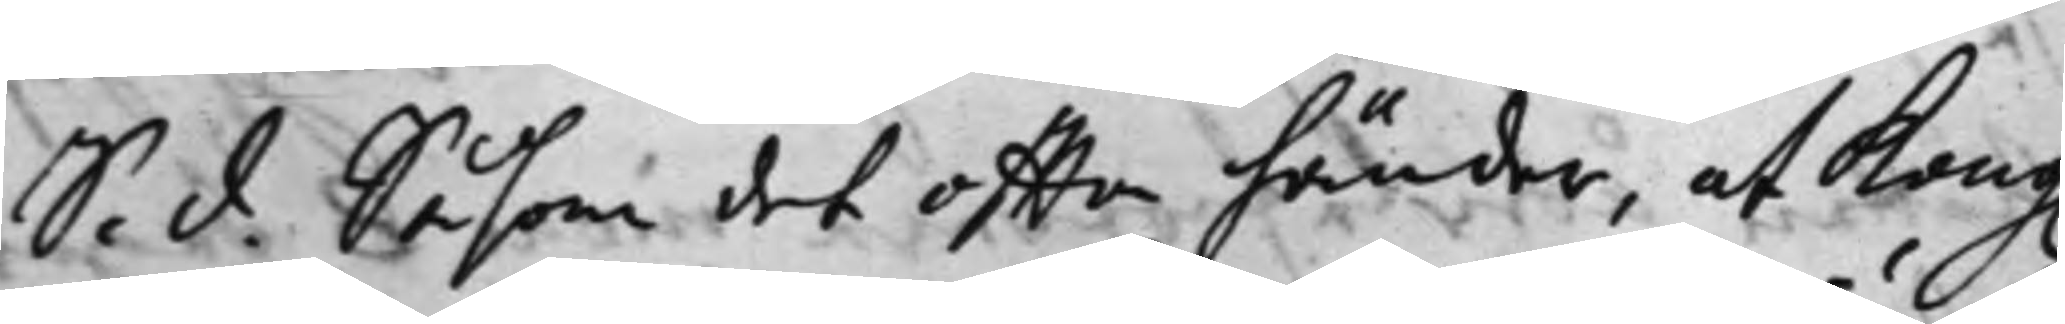S. d. Såsom det offta händer, at Kong.
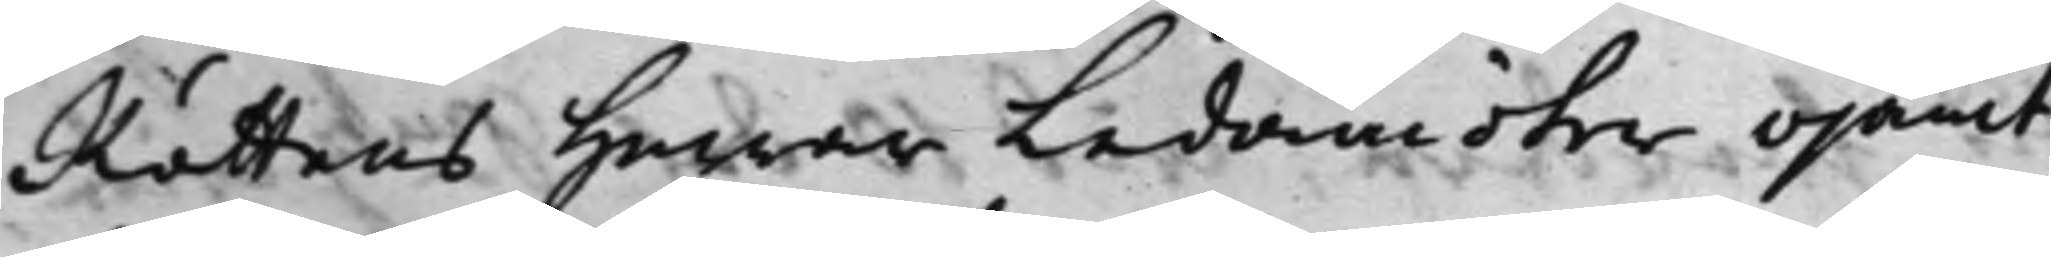Rättens Herrar Ledamöter ojämt
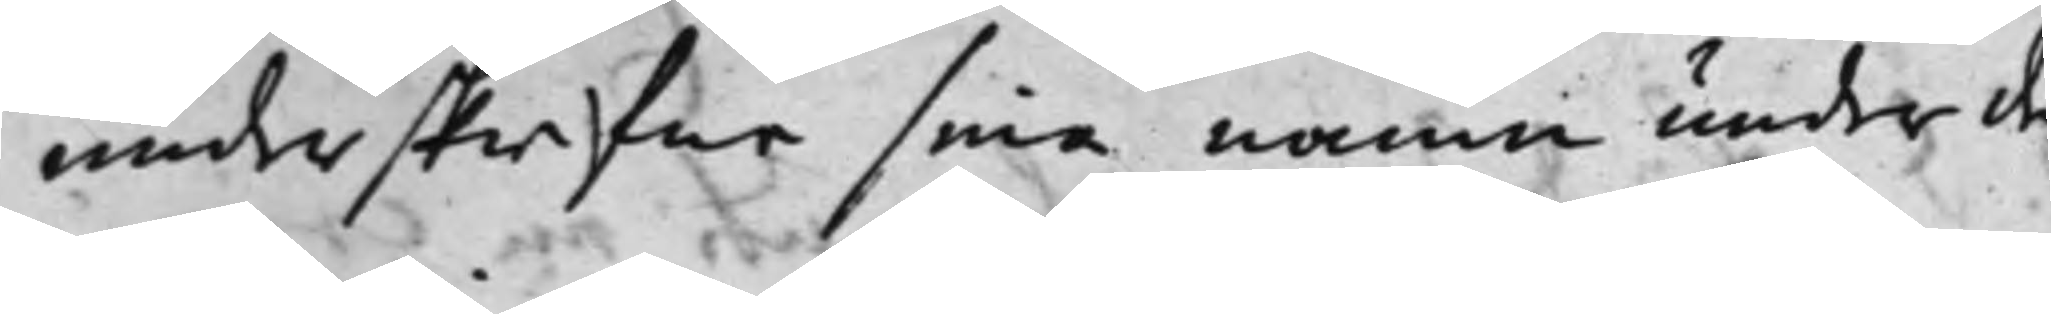underskrifer sina namn under de
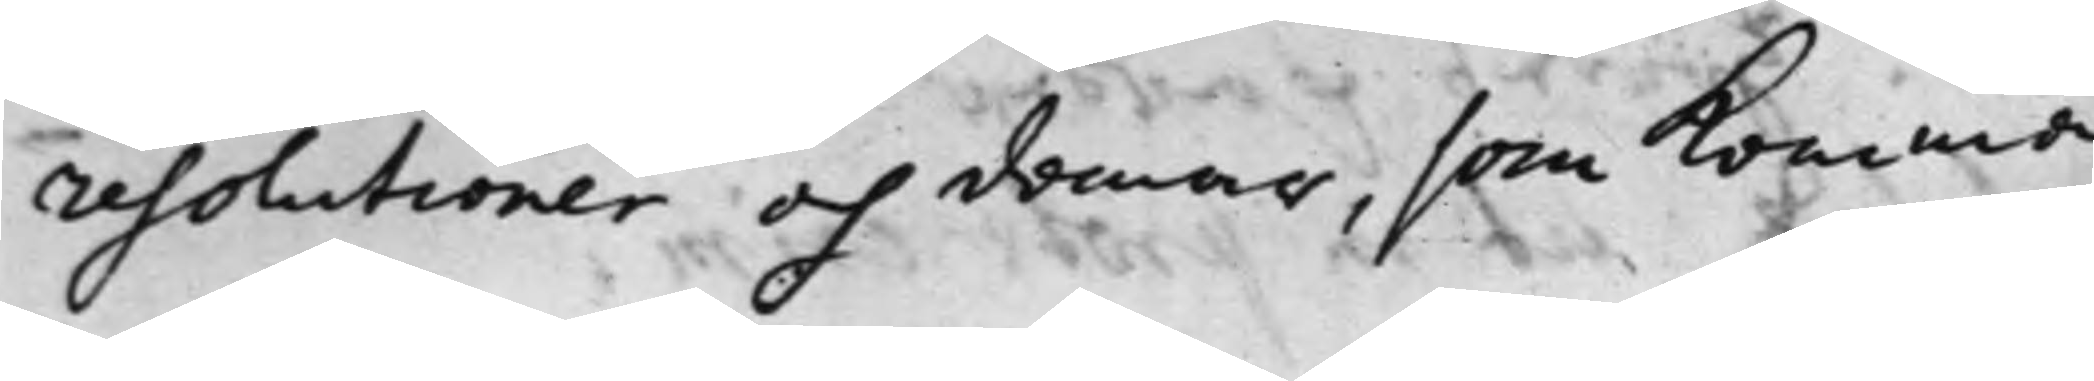resolutioner och domar, som komma
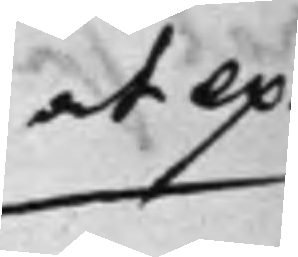at ex¬
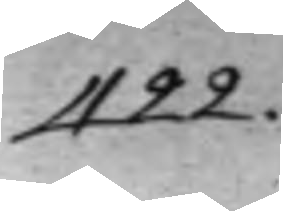422.
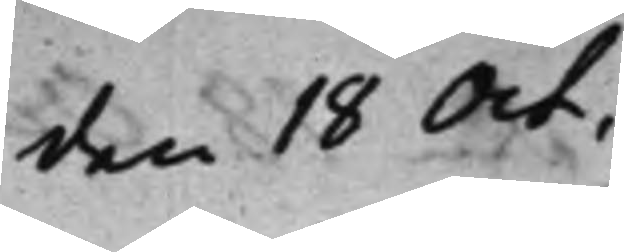den 18 Oct.
